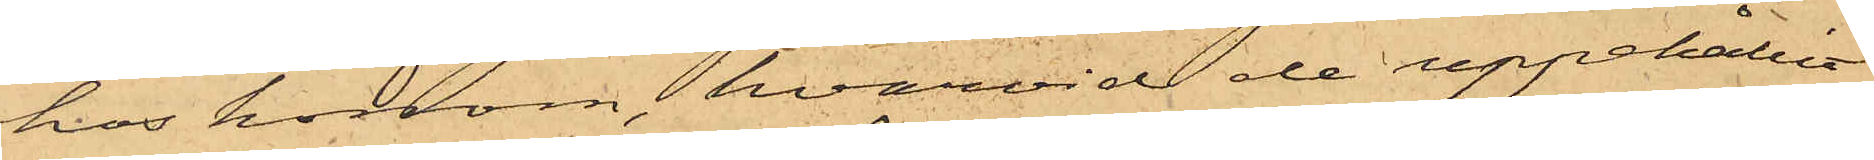hos honom, hvarvid de uppehållit
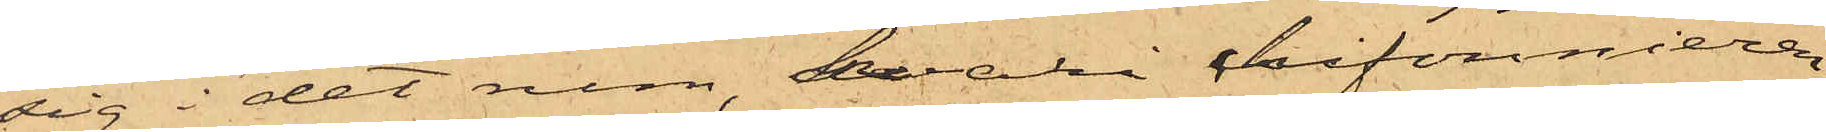sig i det rum, hvari chifonnieren,
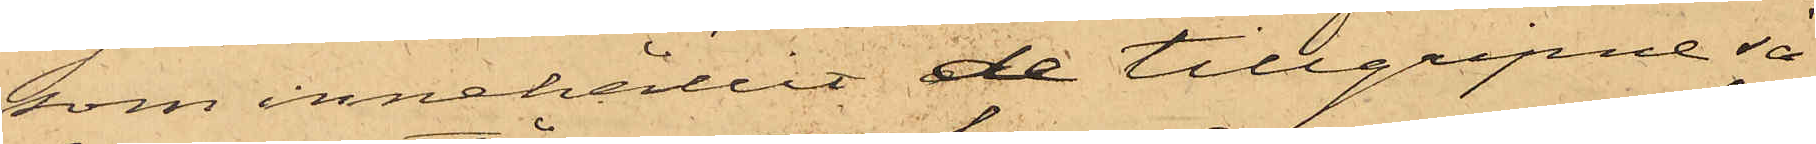som innehållit de tillgripne sa¬
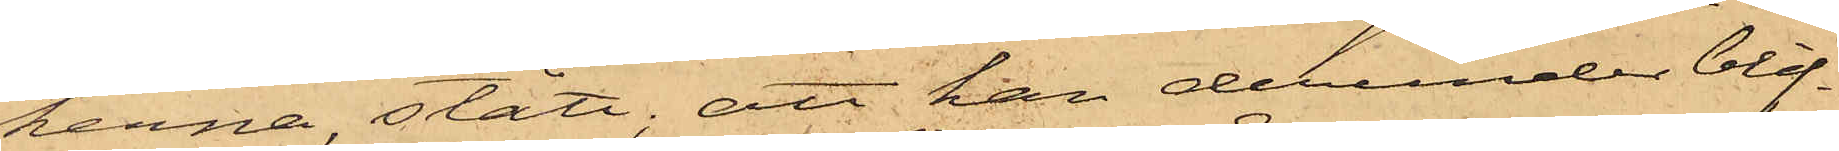kerna, stått; att han derunder blif¬
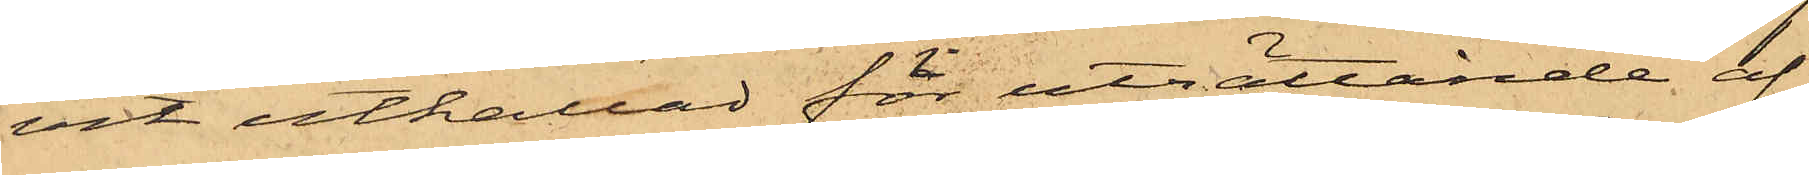vit utkallad för uträttande af
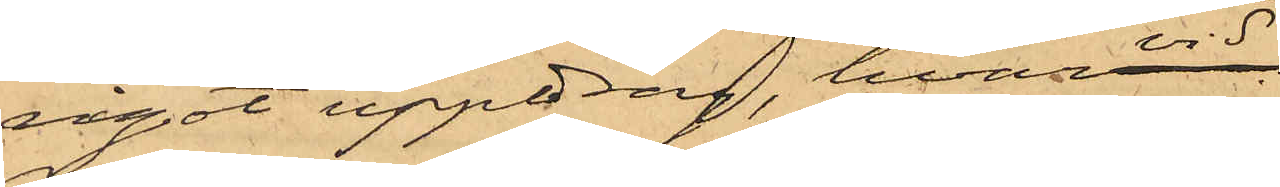något uppdrag, hvarvid
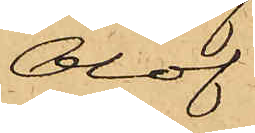Olof
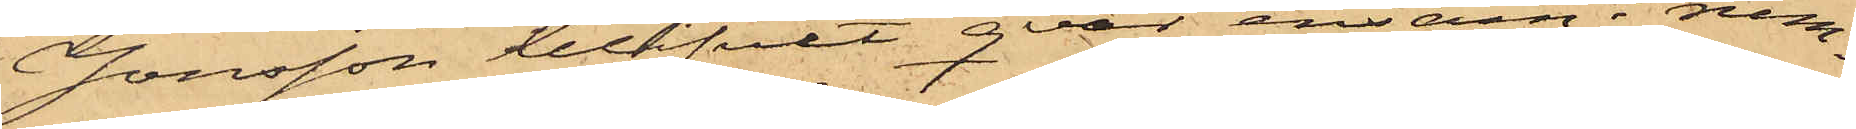Jonsson blifvit qvar ensam i rum¬
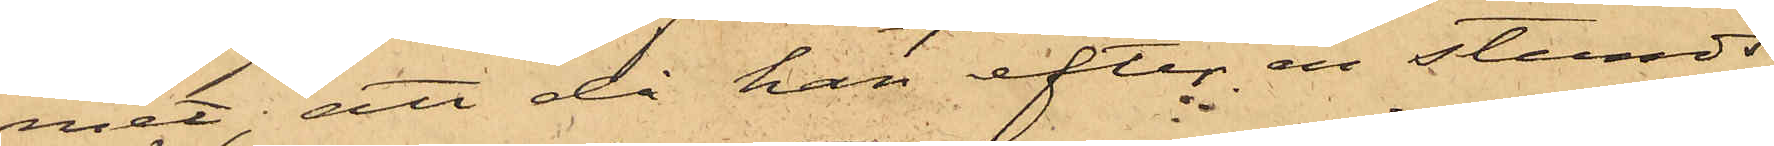met; att då han efter en stunds
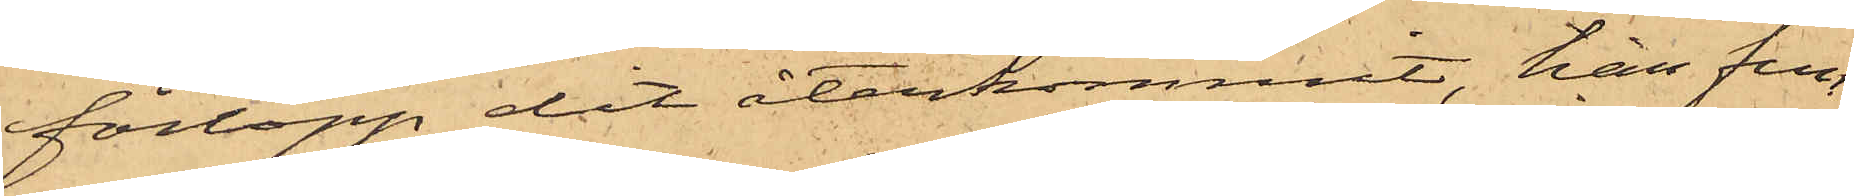förlopp dit återkommit, han fun¬
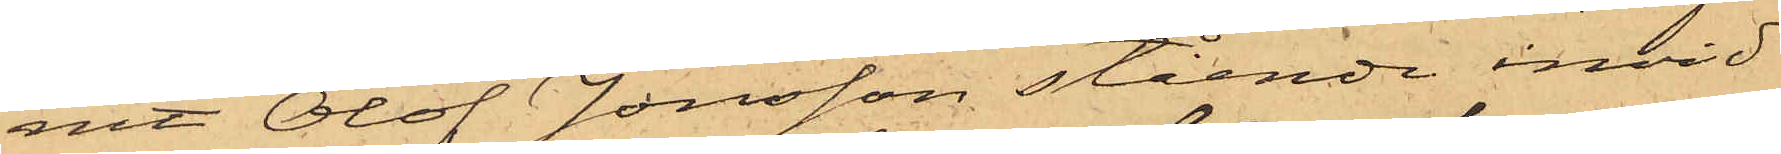nit Olof Jonsson stående invid
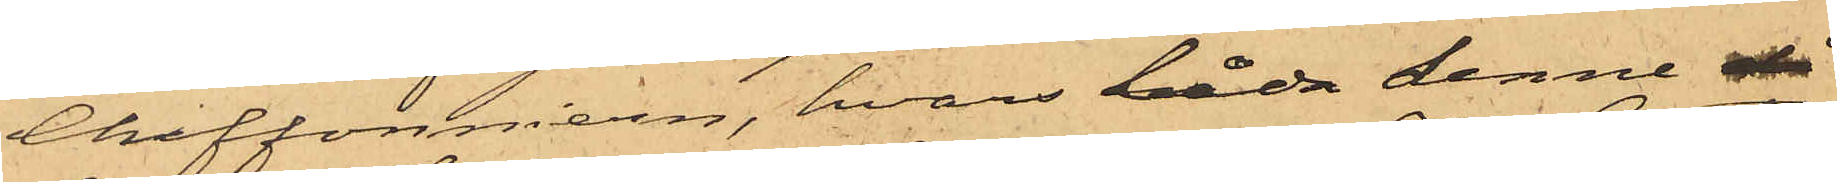Chiffonnieren, hvars låda denne då
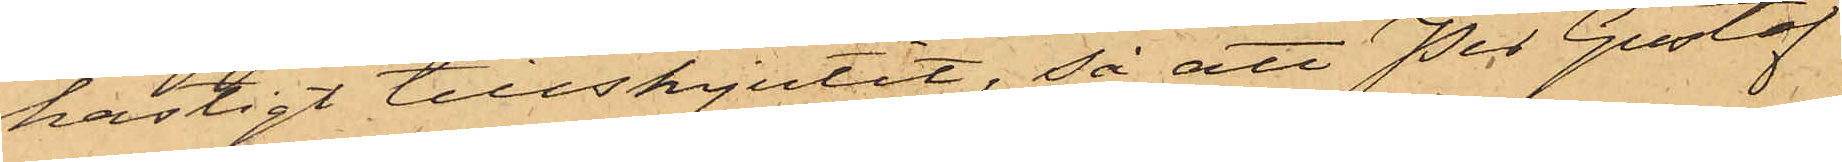hastigt tillskjutit, så att Per Gustaf
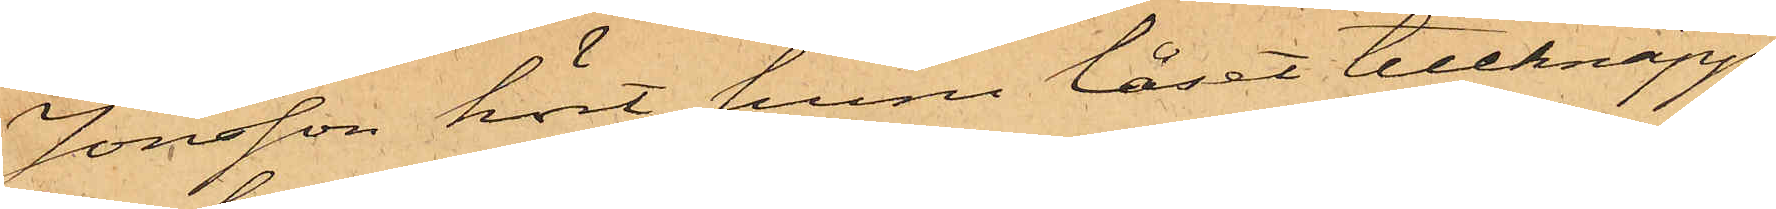Jonsson hört huru låset tillknäpp¬
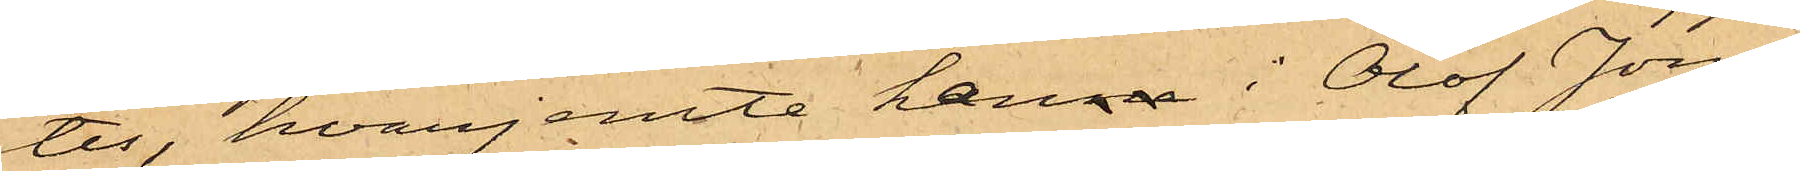tes, hvarjemte hanne i Olof Jons¬
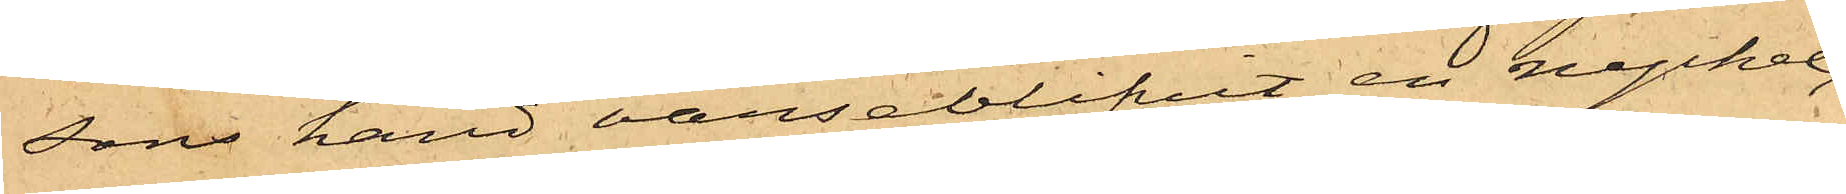sons hand varseblifvit en nyckel;
